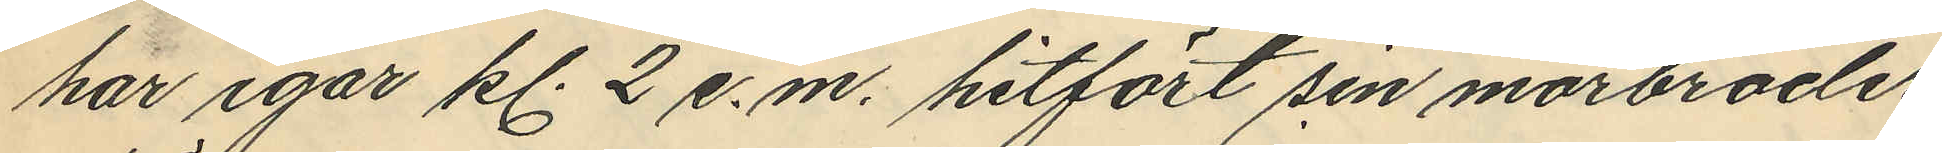har igår kl. 2 e.m. hitfört sin morbroder
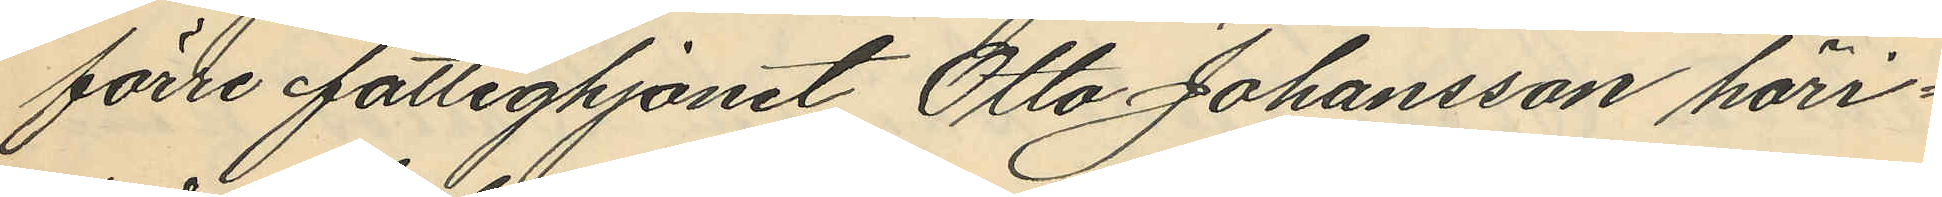förre fattighjonet Otto Johansson häri¬
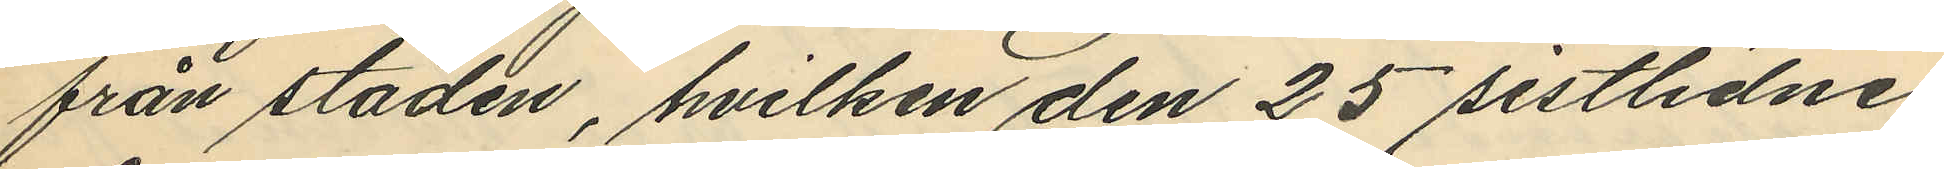från staden, hvilken den 25 sistlidne
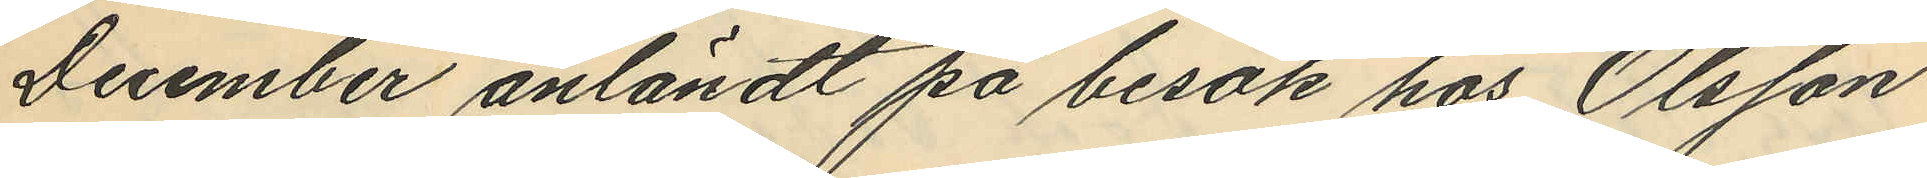December anländt på besök hos Olsson
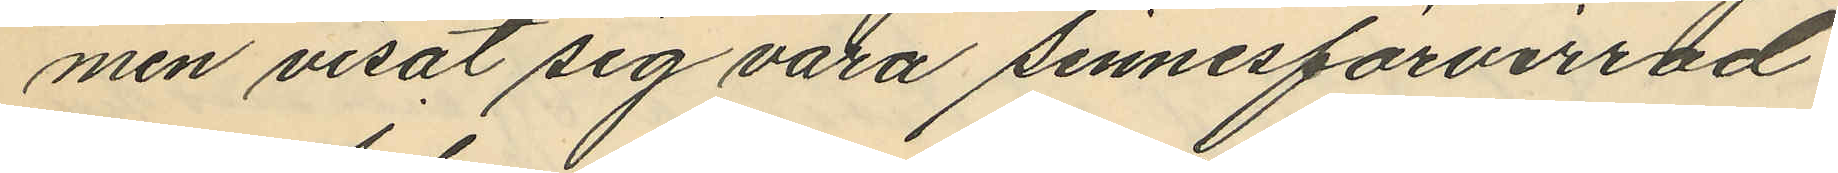men visat sig vara sinnesförvirrad.
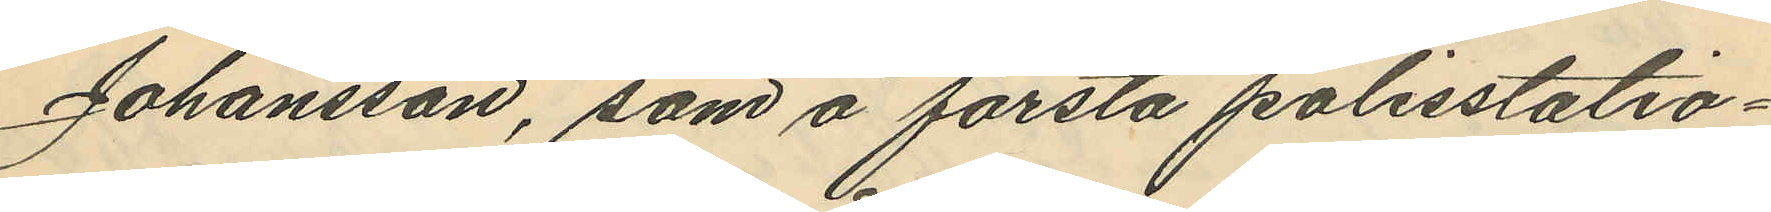Johansson, som å första polisstatio¬
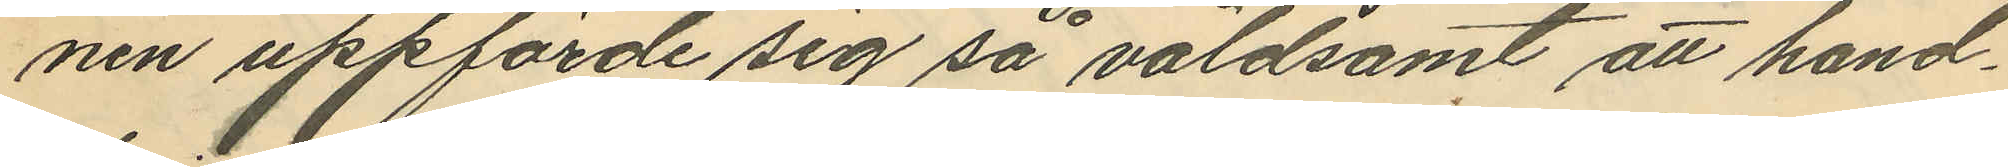nen uppförde sig så våldsamt att hand¬
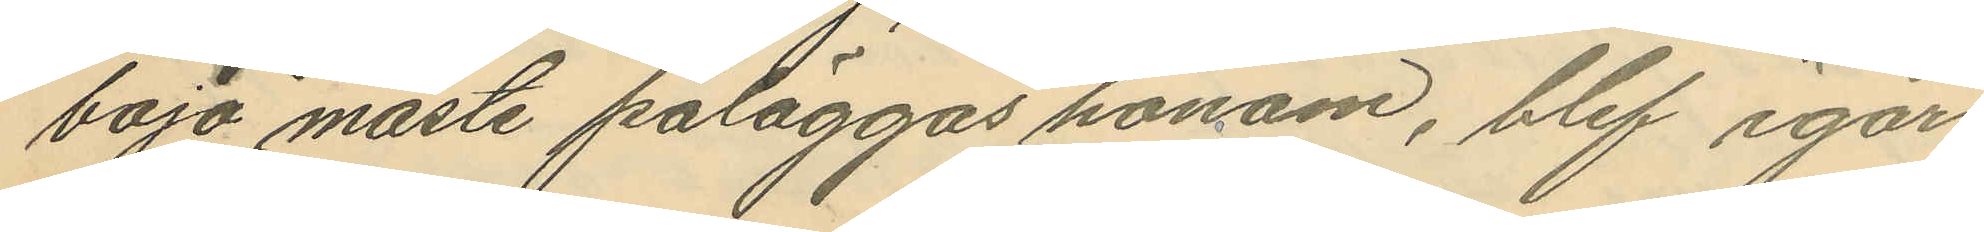boja måste påläggas honom, blef igår
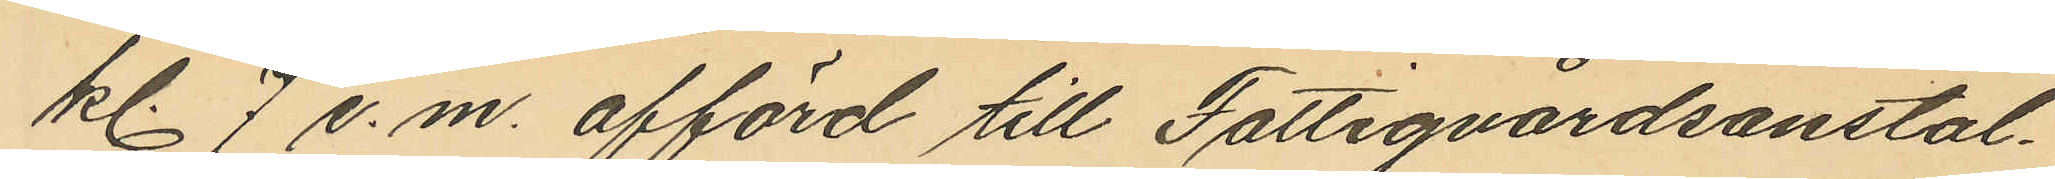kl. 7 e.m. afförd till Fattigvårdsanstal¬
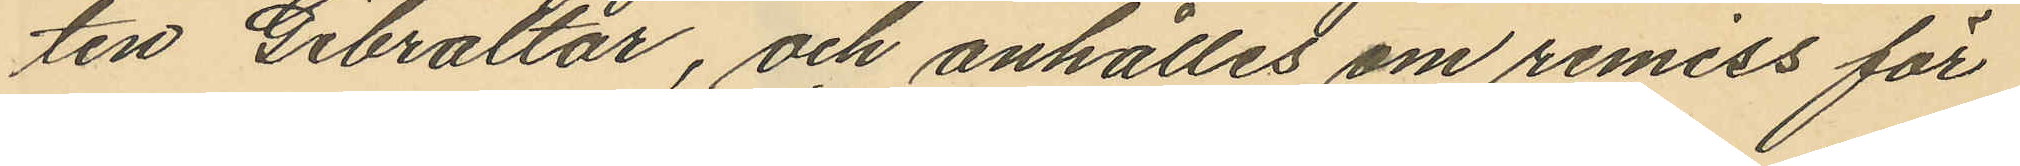ten Gibraltar, och anhållit om remiss för
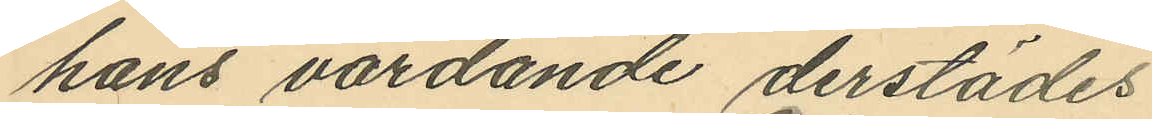hans vårdande derstädes
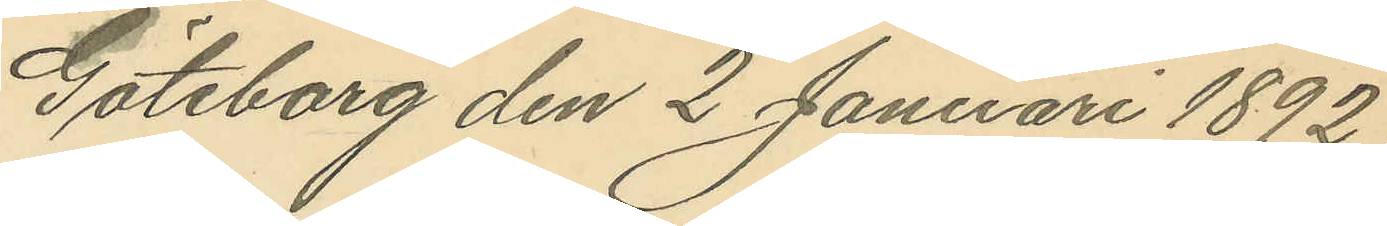Göteborg den 2 Januari 1892.
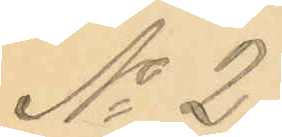No 2.
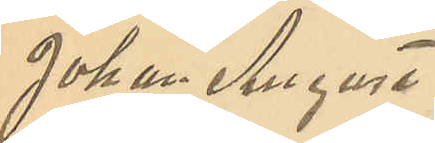Johan August
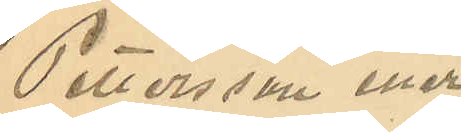Pettersson eller
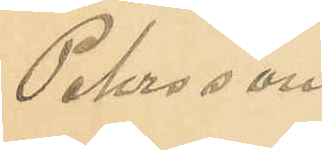Pehrsson.
